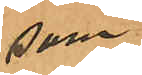som
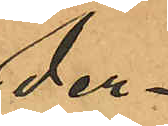der¬
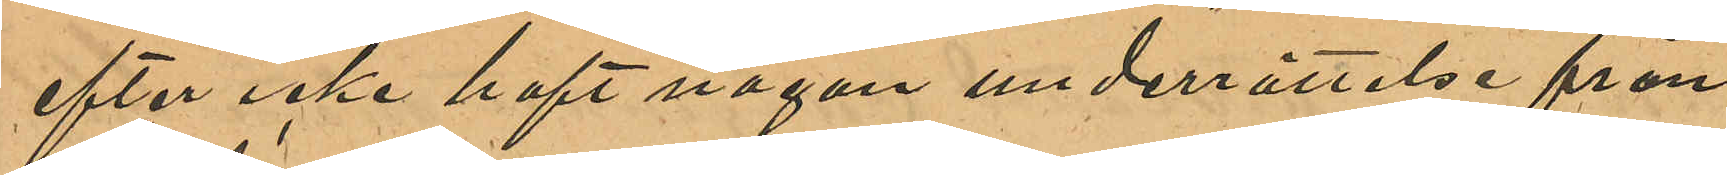efter icke haft någon underrättelse från
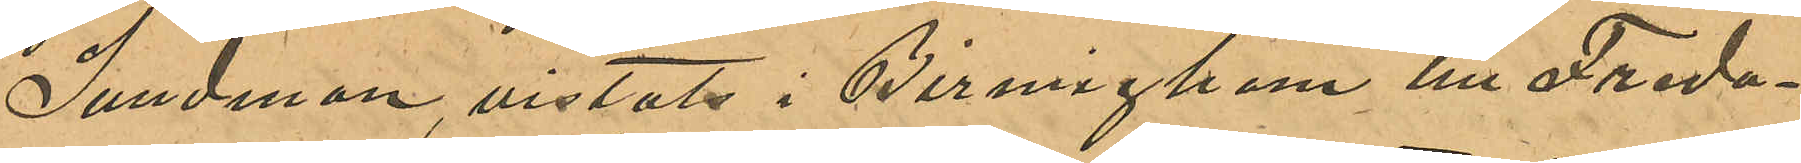Sundman, vistats i Birmigham till Freda¬
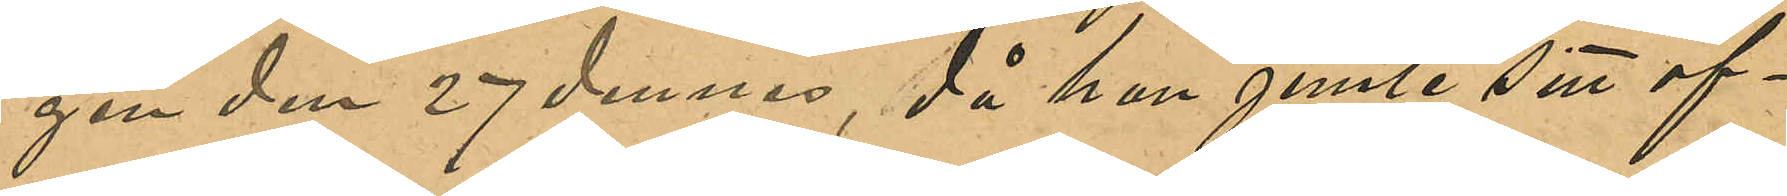gen den 27 dennes, då hon jemte sitt of¬
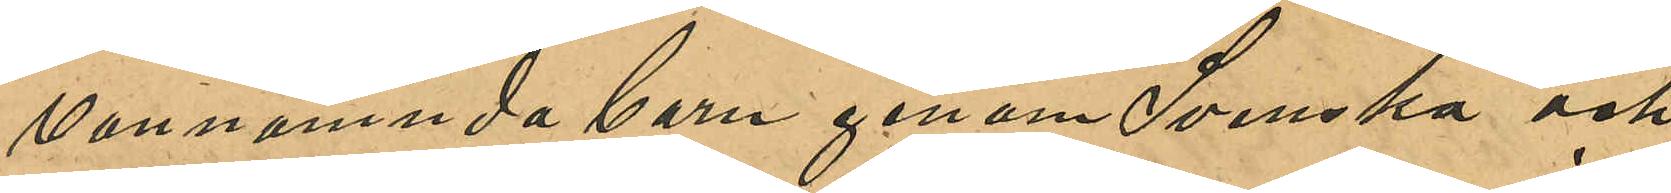vannamda barn genom Svenska och
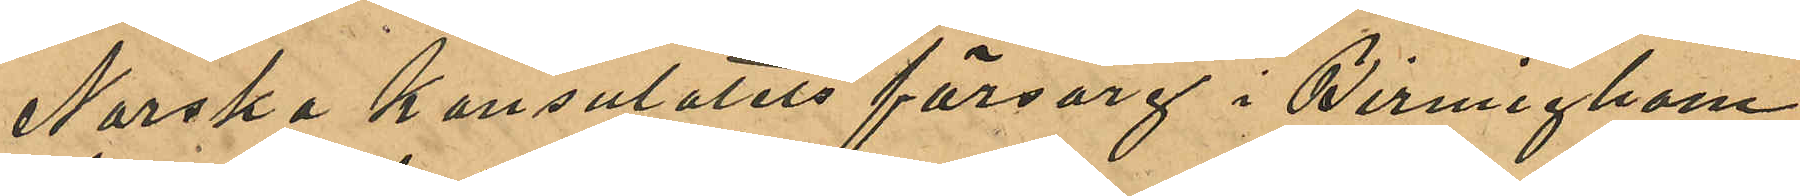Norska konsulatets försorg i Birgmigham
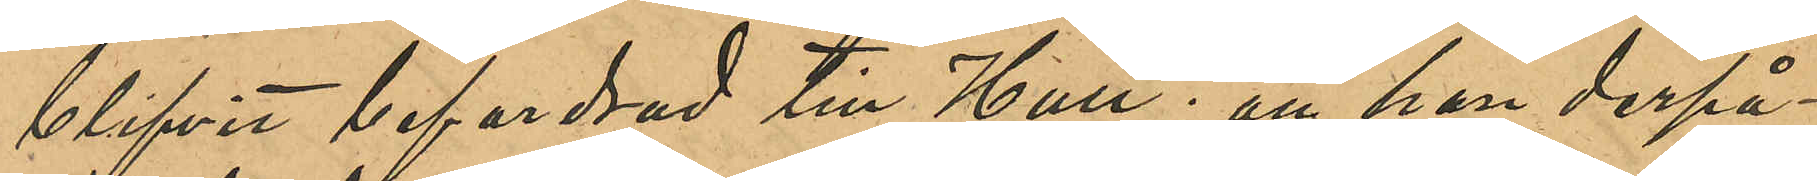blifvit befordrad till Hull; att hon derpå¬
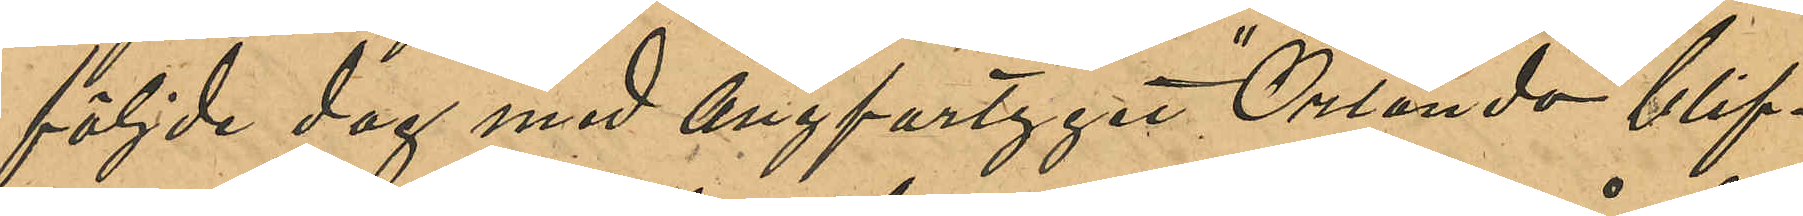följde dag med Ångfartyget "Orlando" blif¬
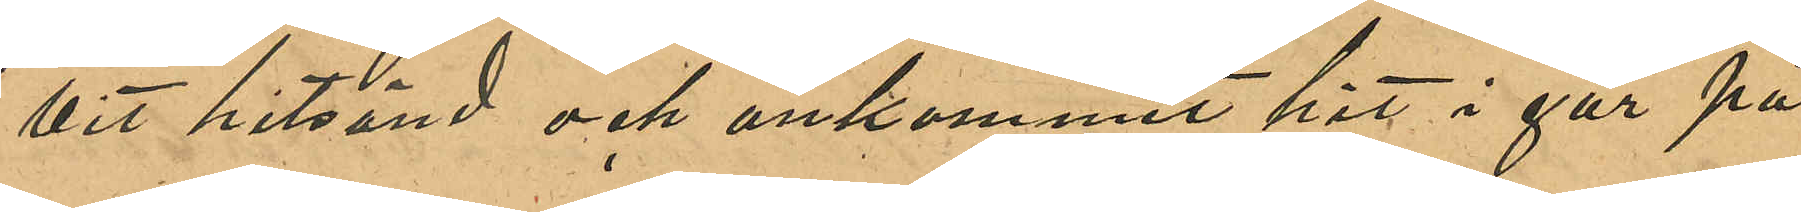vit hitsänd och ankommit hit i går på
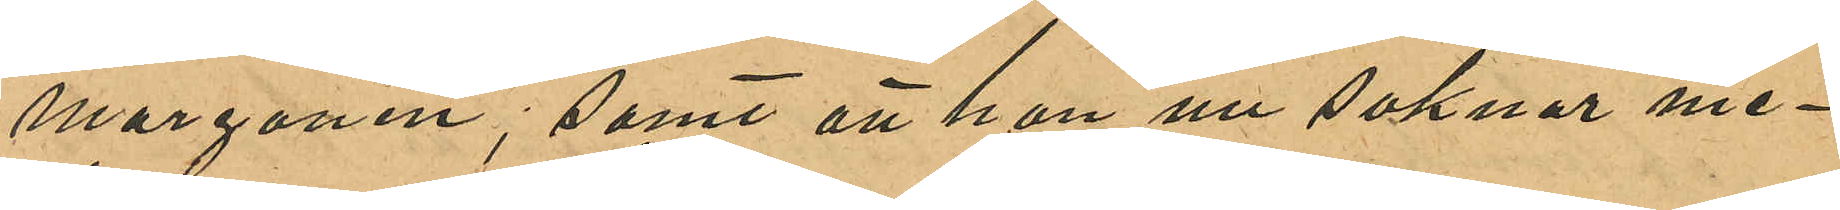morgonen; samt att hon nu saknar me¬
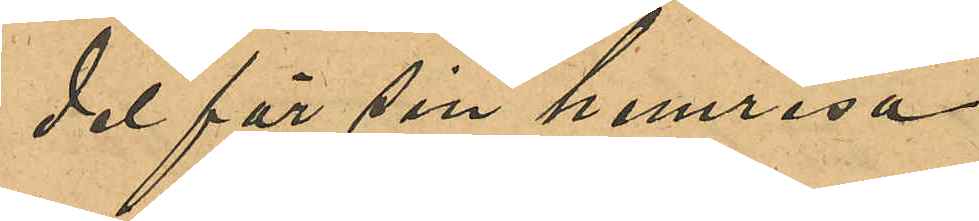del för sin hemresa.
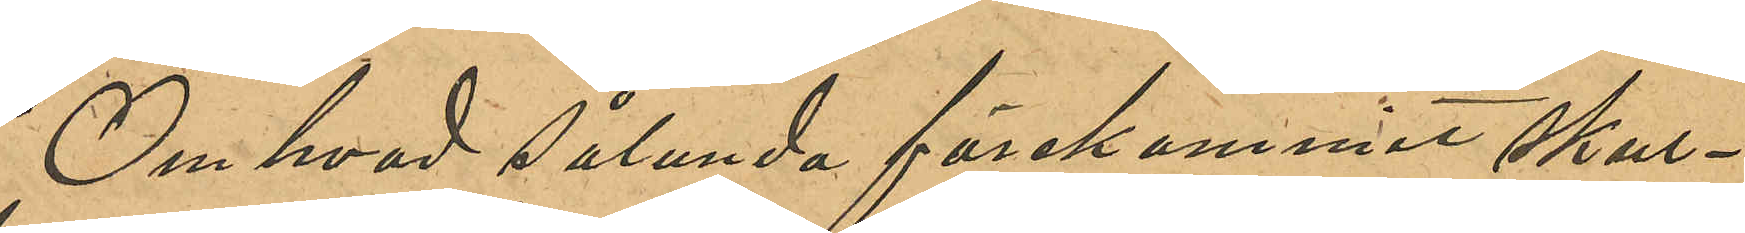Om hvad sålunda förekommit skul¬
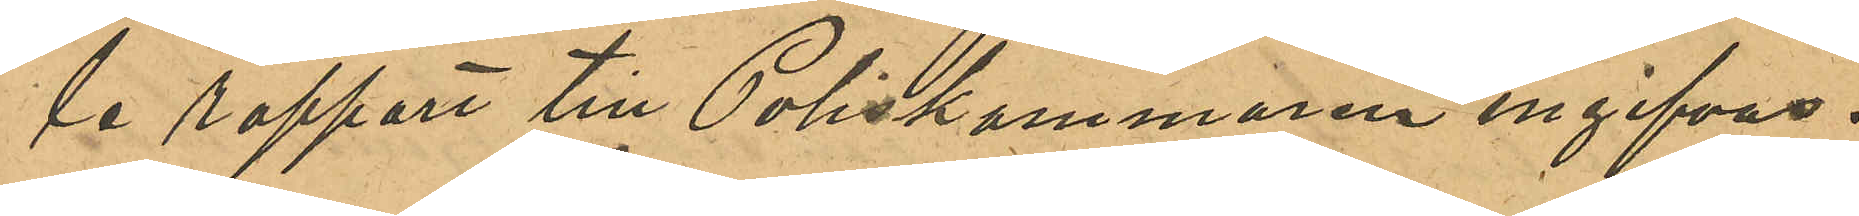le rapport till Poliskammaren ingifvas.
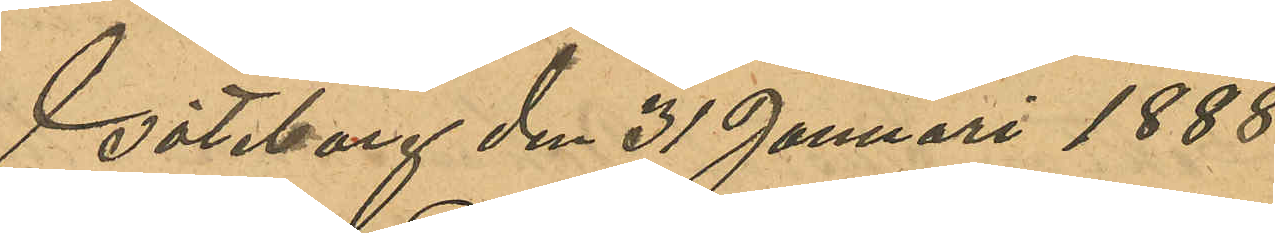Göteborg den 31 Januari 1888
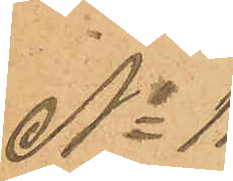No 11
